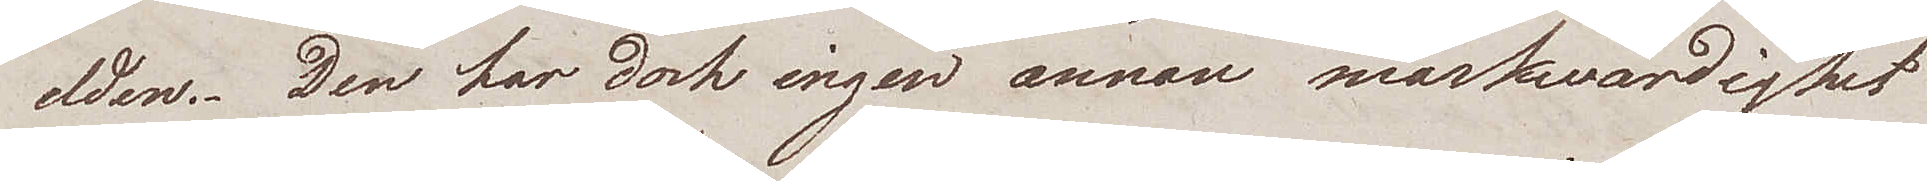elden. Den har dock ingen annan märkwärdighet
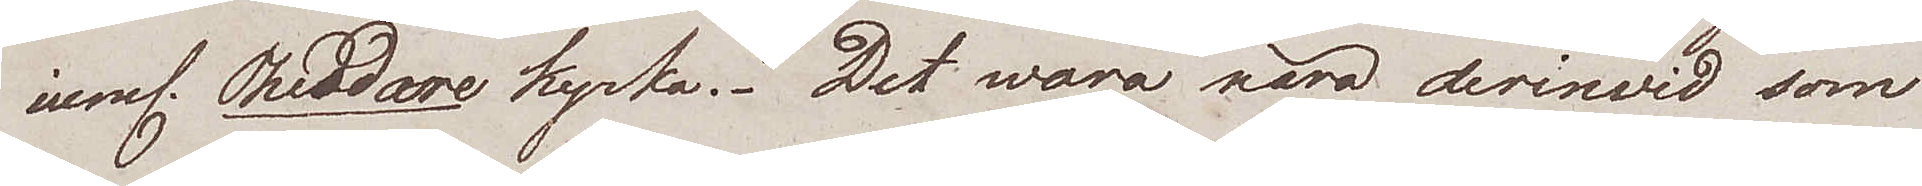neml. Theodore kyrka. Det woro nära derinvid som
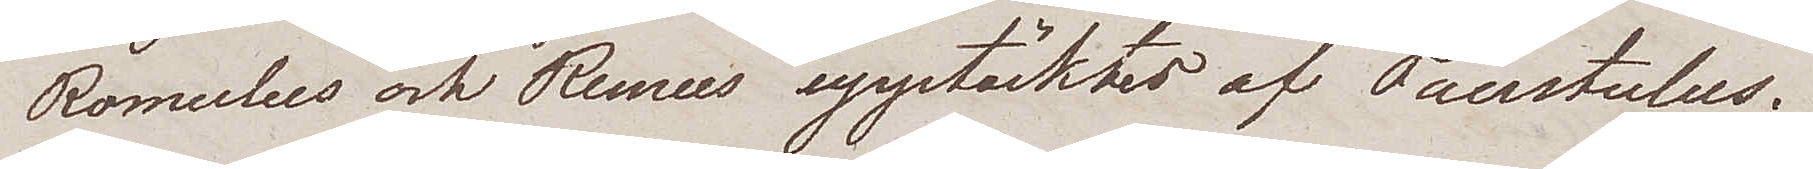Romulus och Remus upptäcktes af Faustulus.
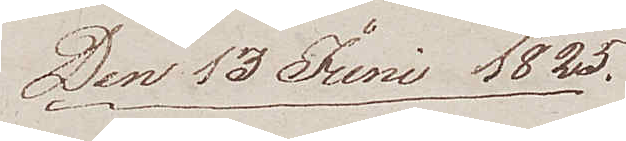Den 13 Juni 1825.
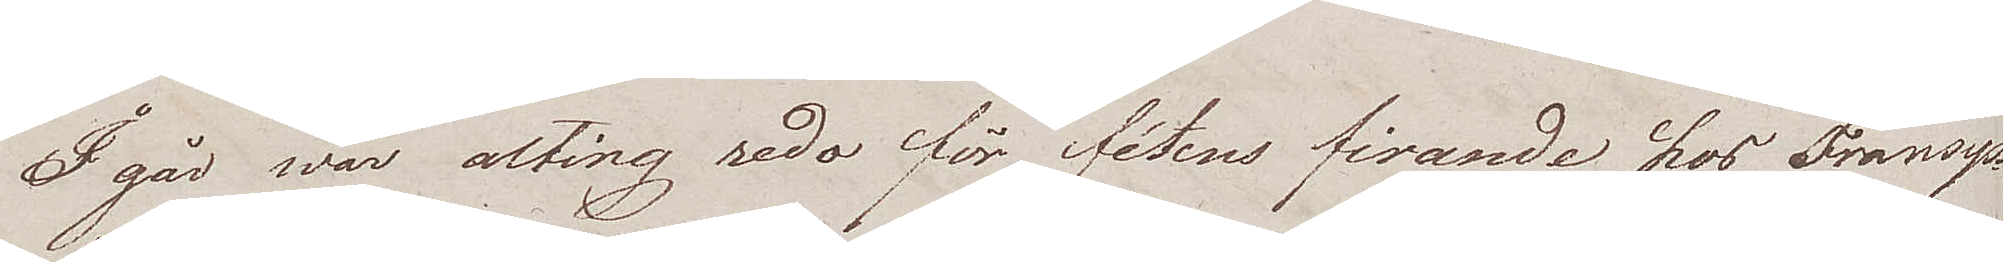I går war alting reda för fêtens firande hos Fransysk¬
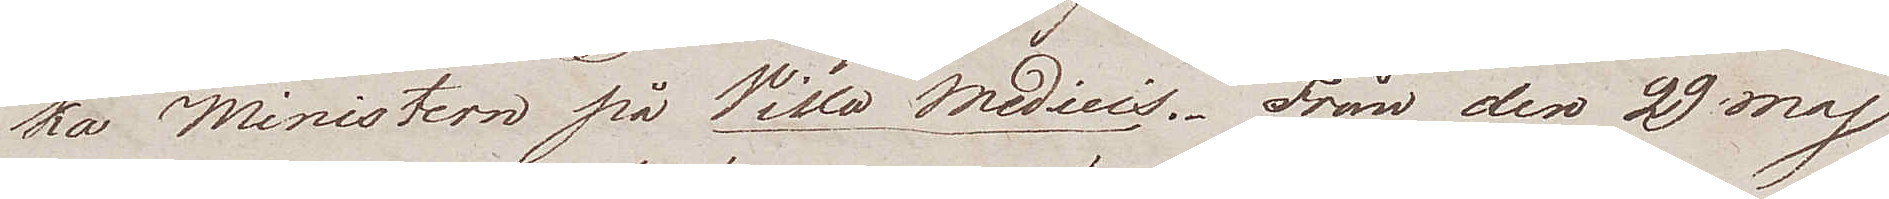ka Ministern på Villa Medicis. Från den 29 maj
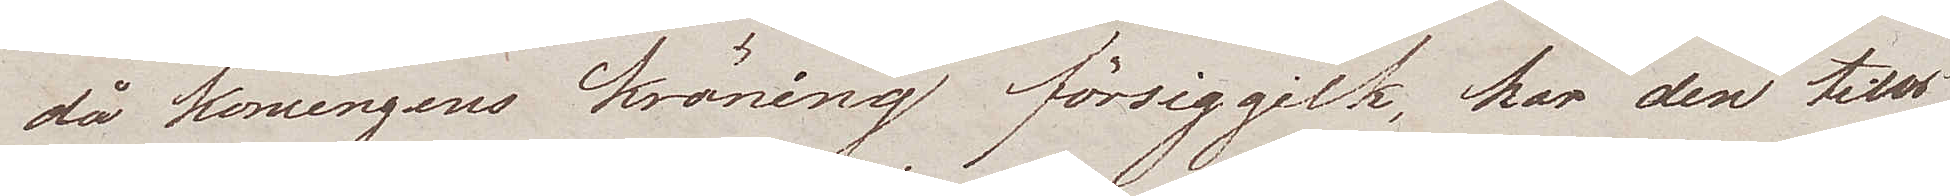då Konungens Kröning försiggick, har den tills
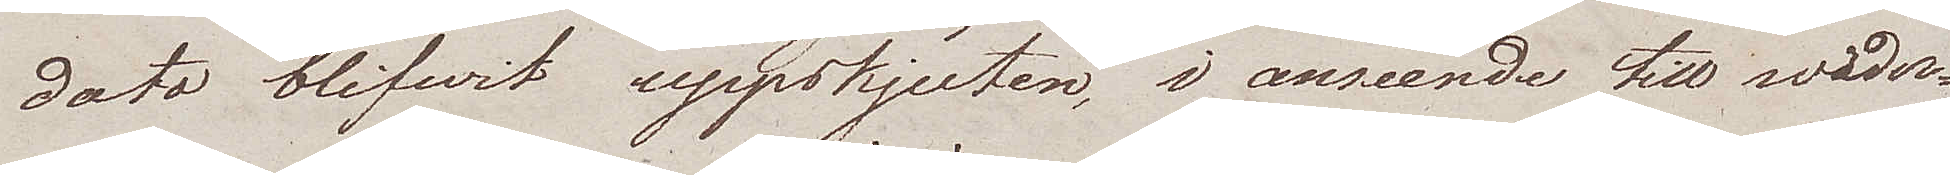dato blifvit uppskjuten, i anseende till wäder¬
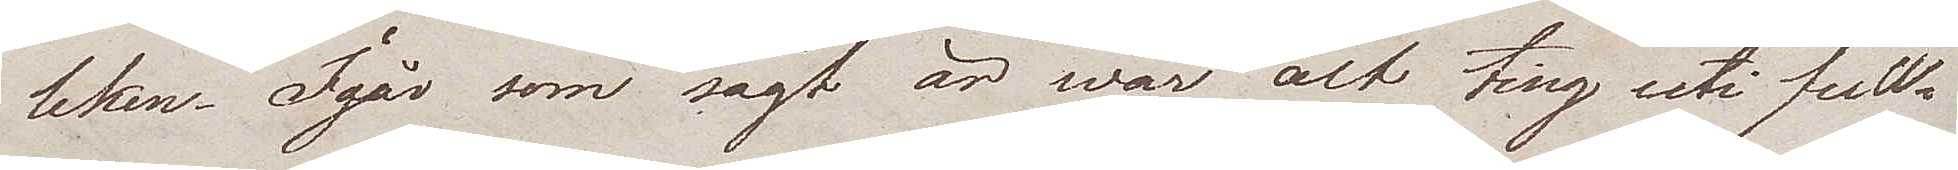leken. Igår som sagt är war alt ting uti full¬
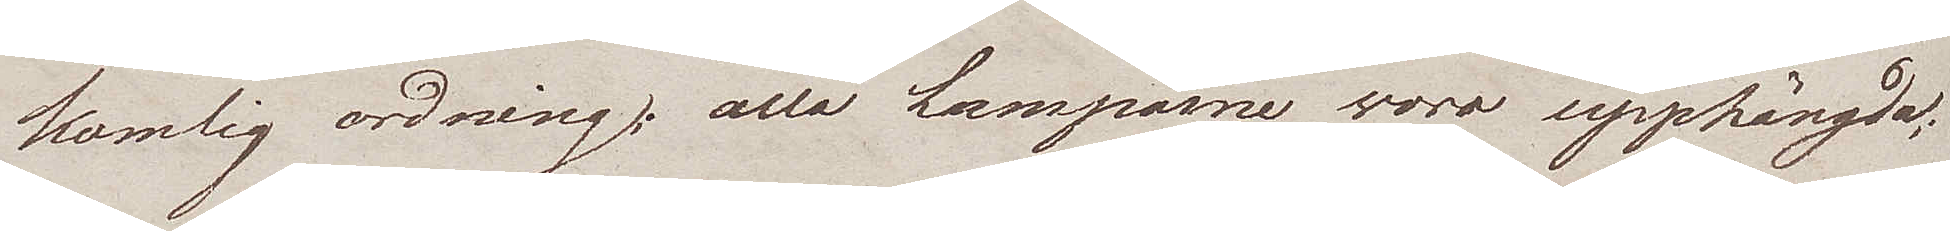komlig ordning; alla Lamporne woro upphängda;
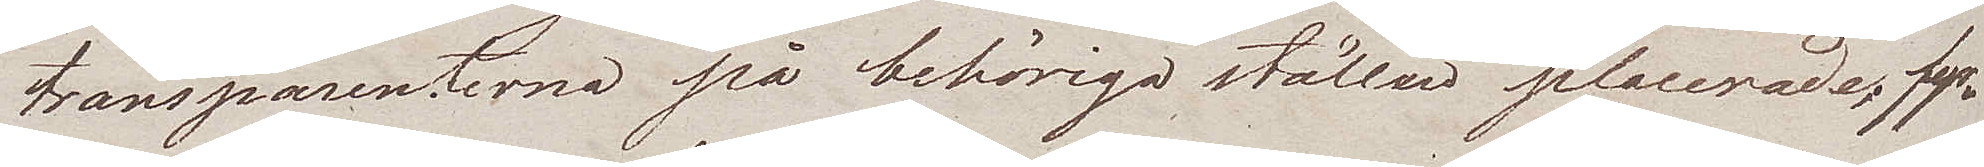transparenterna på behöriga ställen placerade, fyr¬
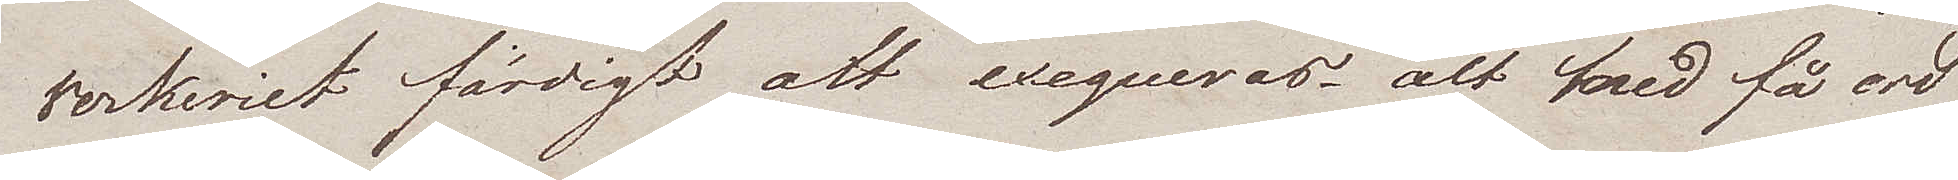verkeriet färdigt att exequeras, alt med få ord
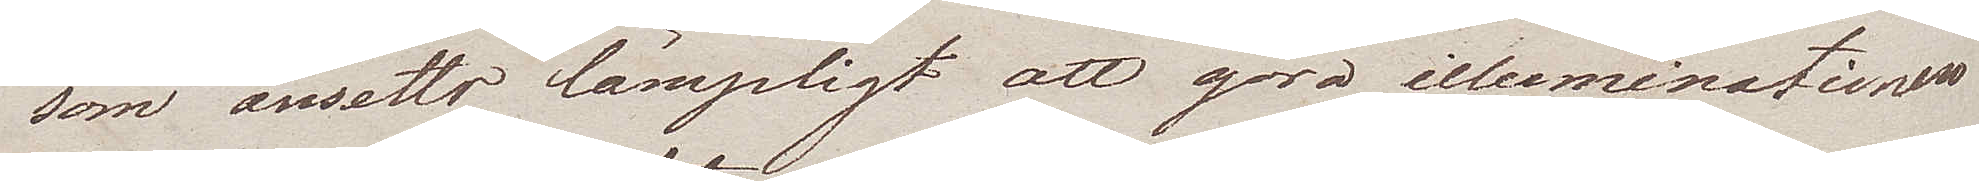som ansetts lämpligt att göra illuminationen
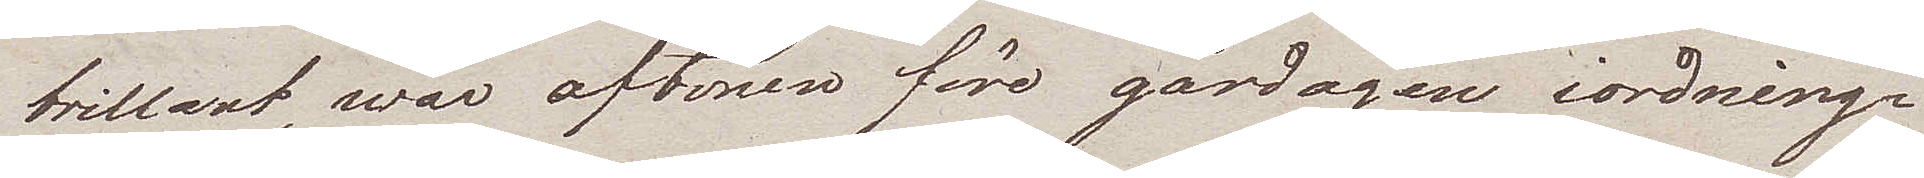brillant, war aftonen före gårdagen iordning¬
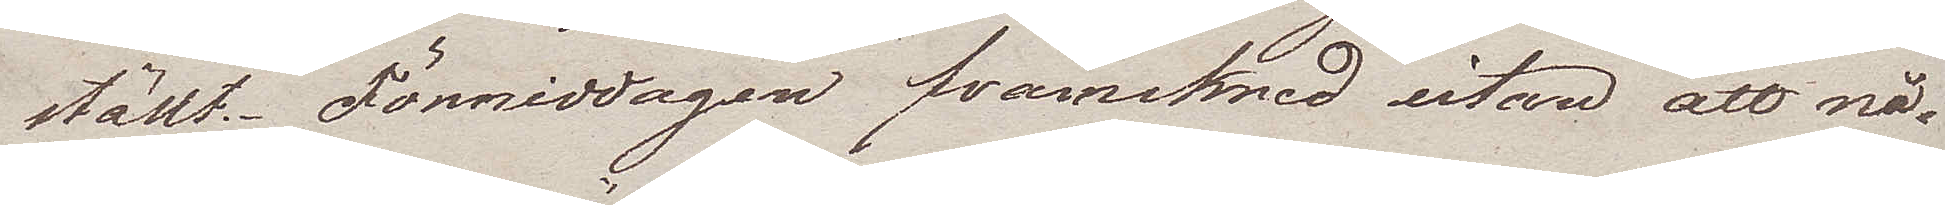ställt. Förmiddagen framskred utan att nå¬
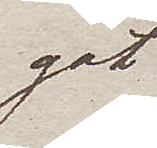got
